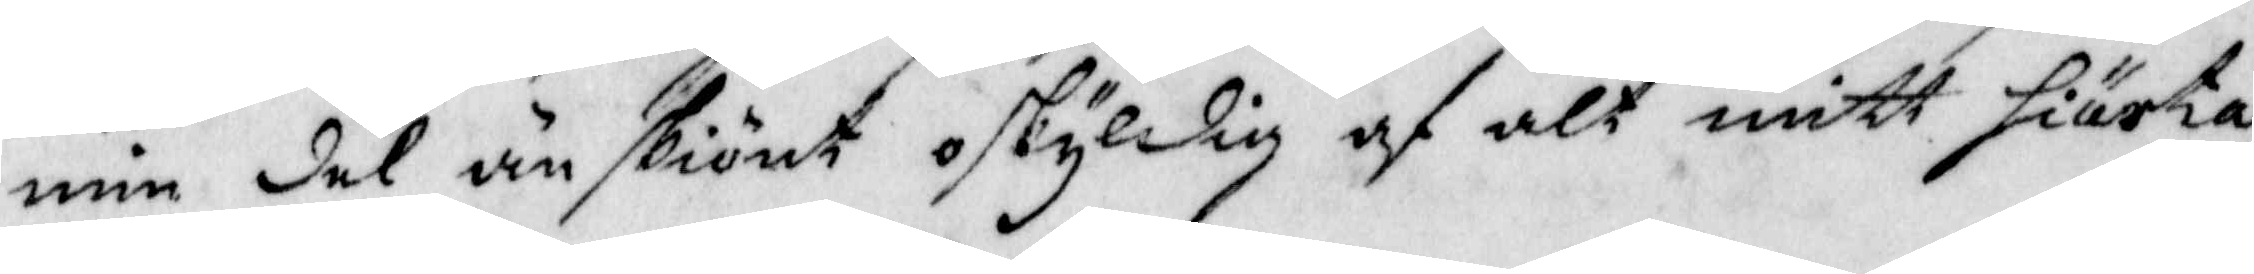min del änskiönt oskyldig af alt mitt hiärta
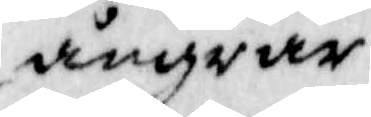ångrar.
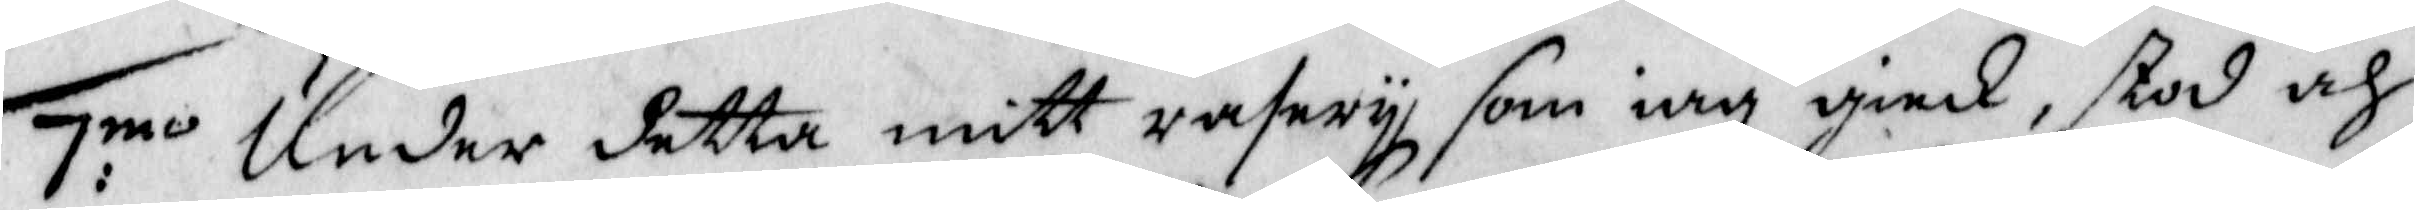7:mo Under detta mitt rasery som iag gick, stod och
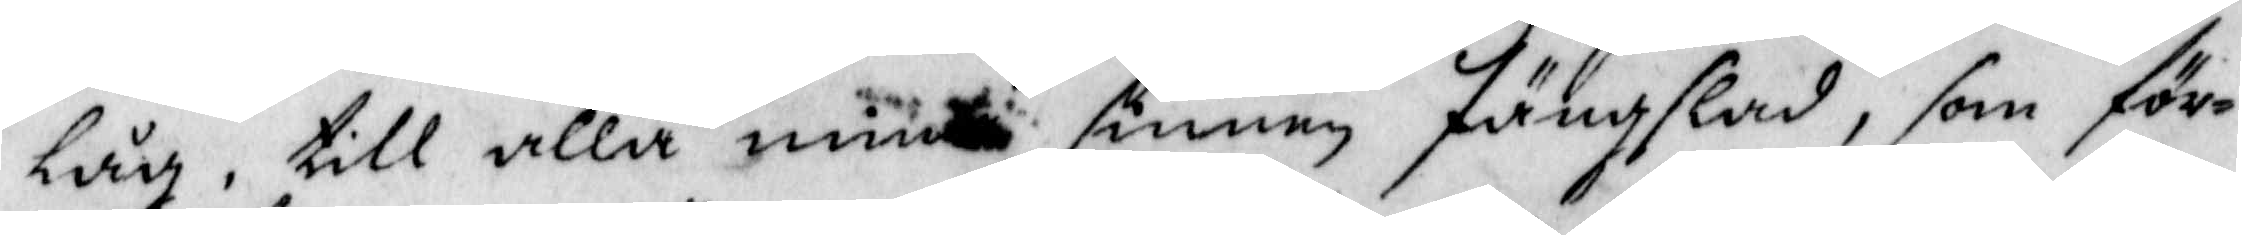låg, till alla mina sinnen fängslad, som för¬
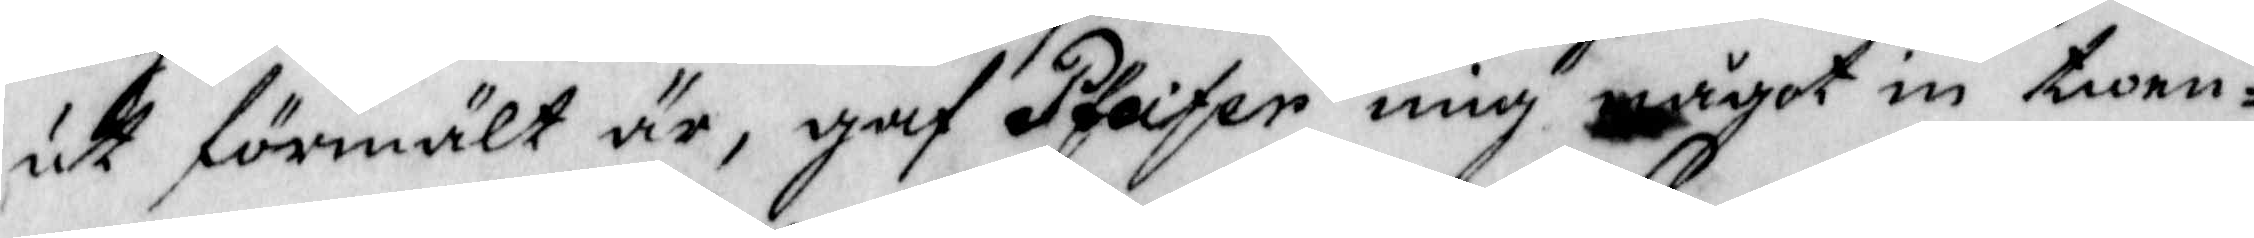ut förmält är, gaf Pfeifer mig något in twen¬
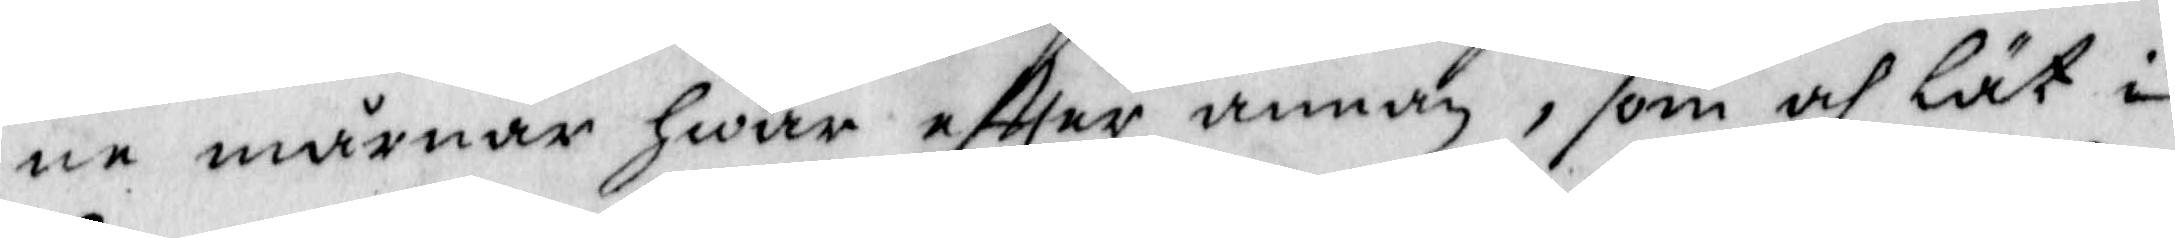ne mårnar Hwar eftter annan, som och lät i
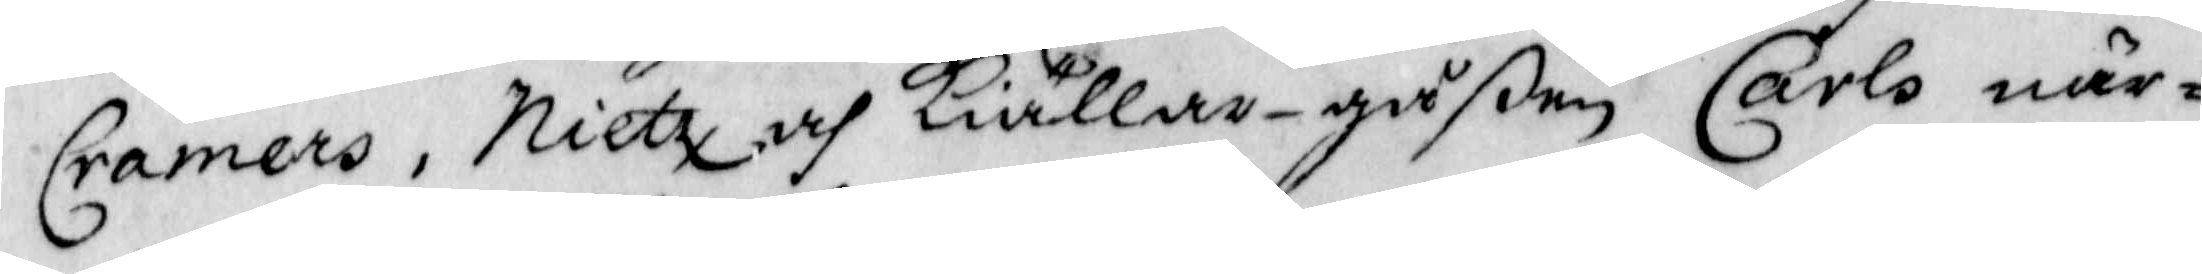Cramers, Nietz och Kiällar-gåßen Carls när¬
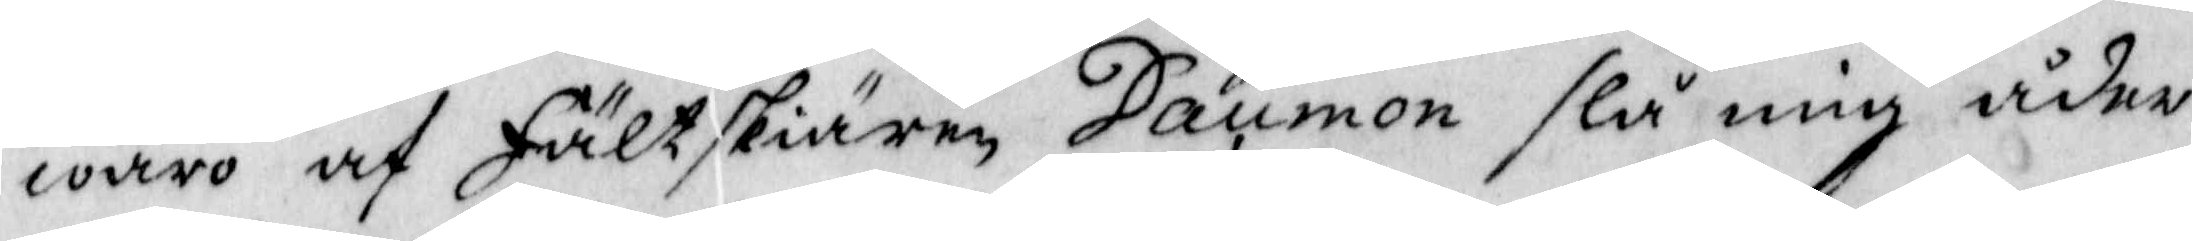waro af Fältskiären Daumon slå mig åder,
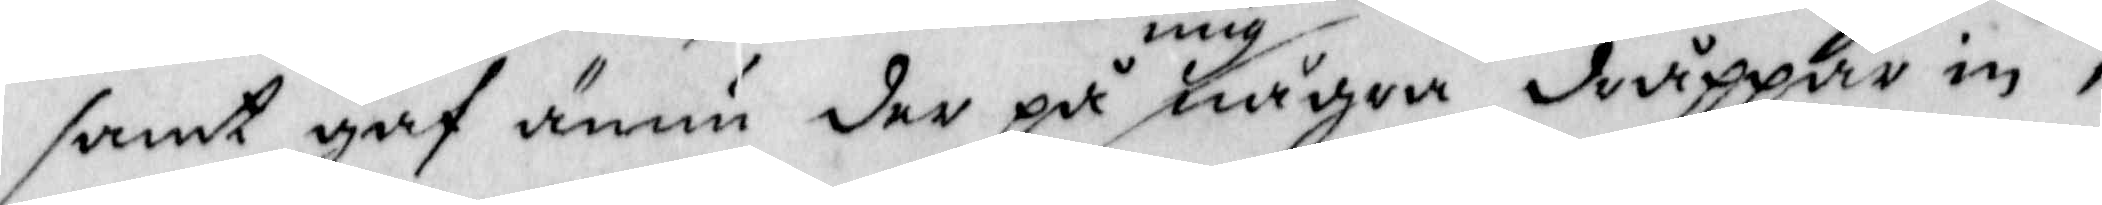samt gaf ännu der på mig några dråppar in,
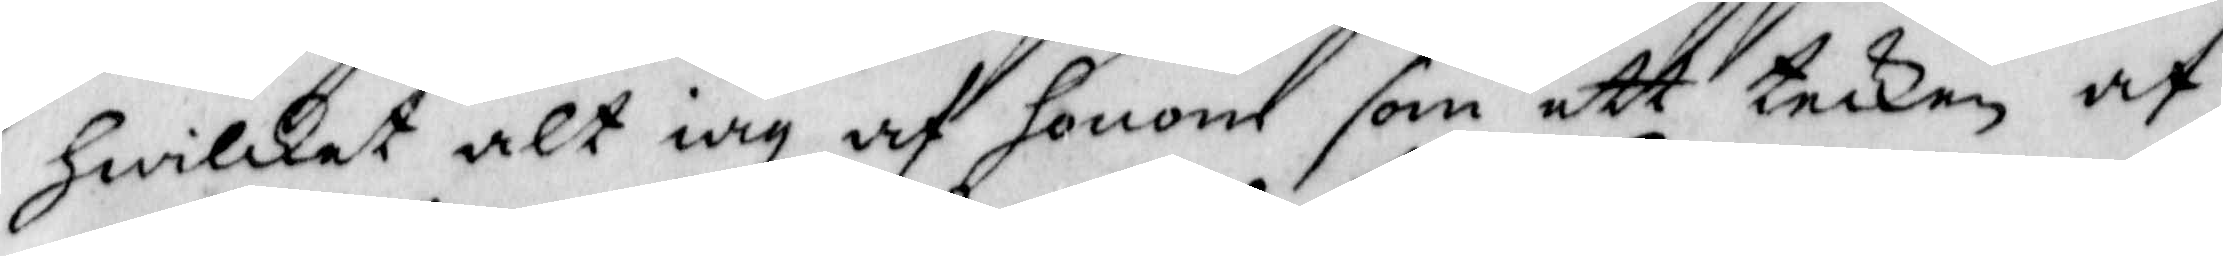Hwilket alt iag af honom som ett tecken af
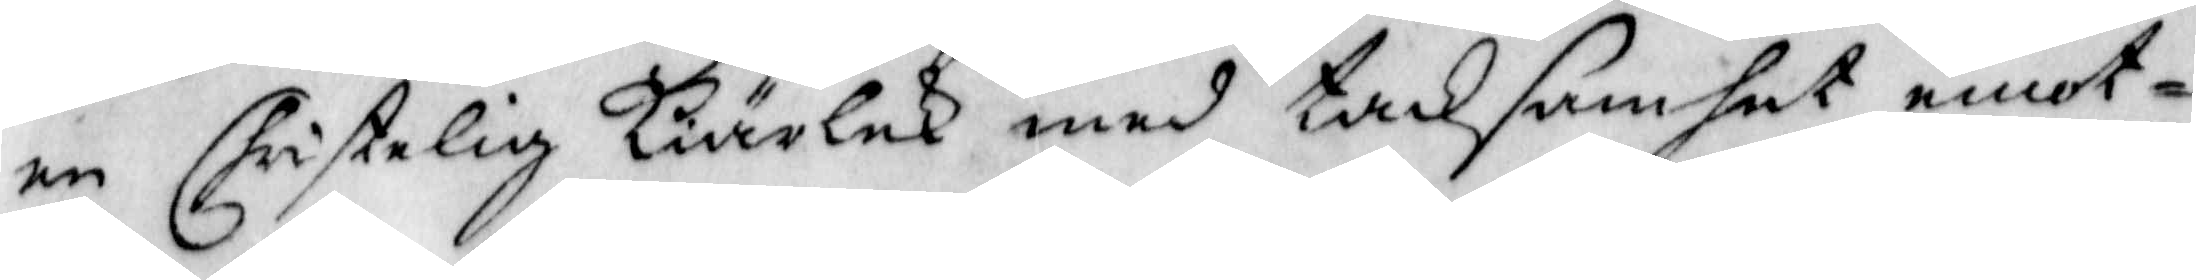en Christelig Kiärlek med tacksamhet emot¬
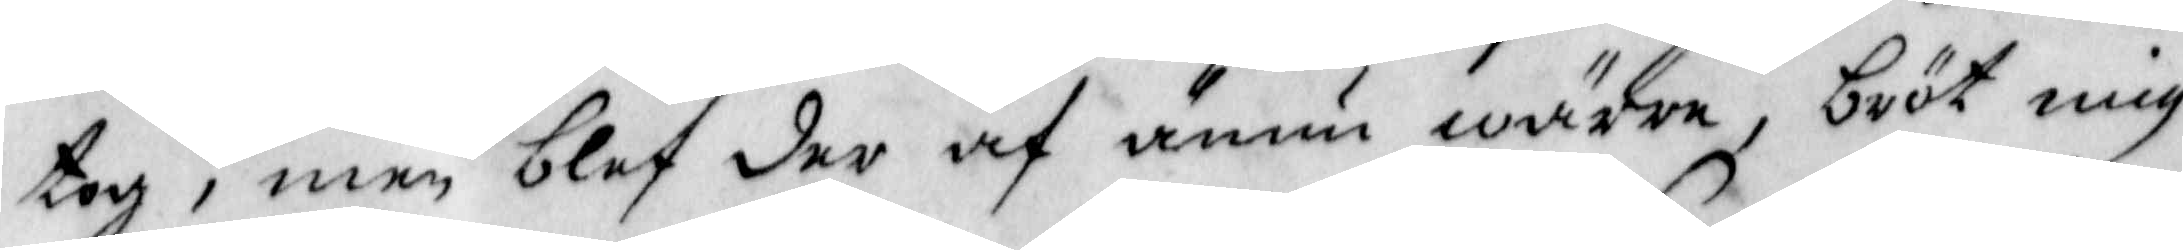tog, men blef der af ännu wärre, bröt mig
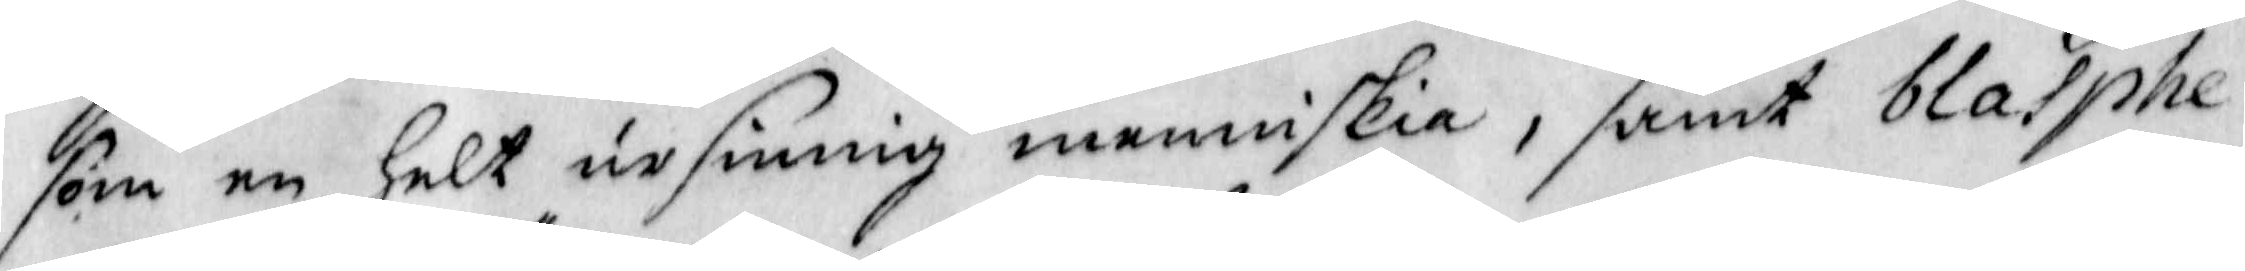som en Helt ursinnig menniskia, samt blasphe¬
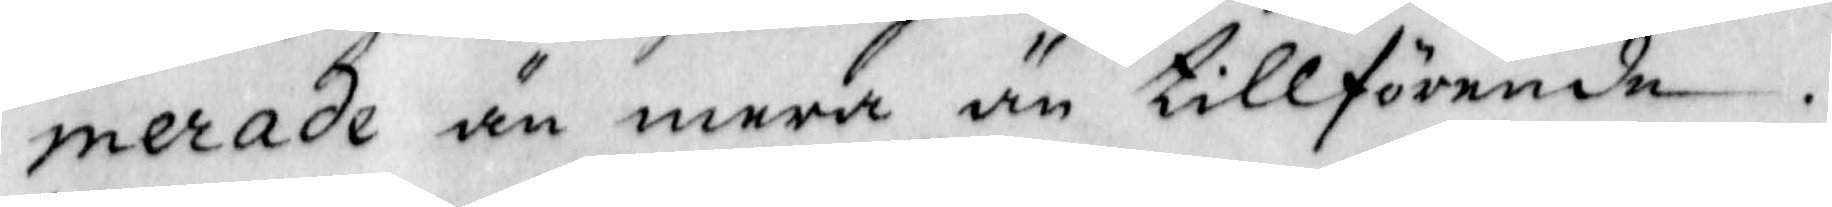merade än mera än tillförende.
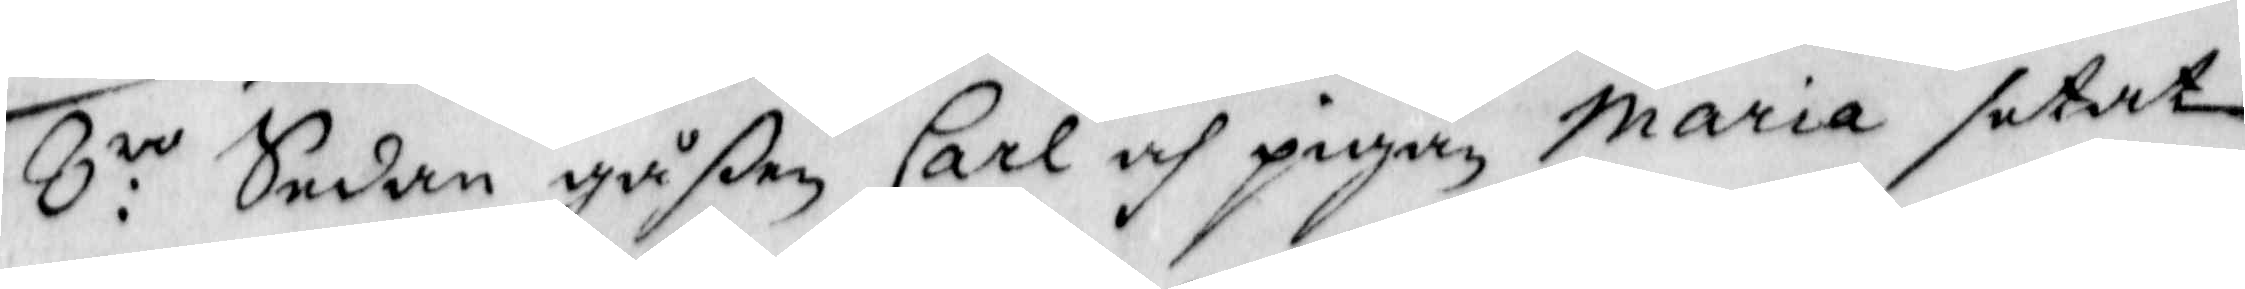8:vo sedam gåßen Carl och pigan Maria setat
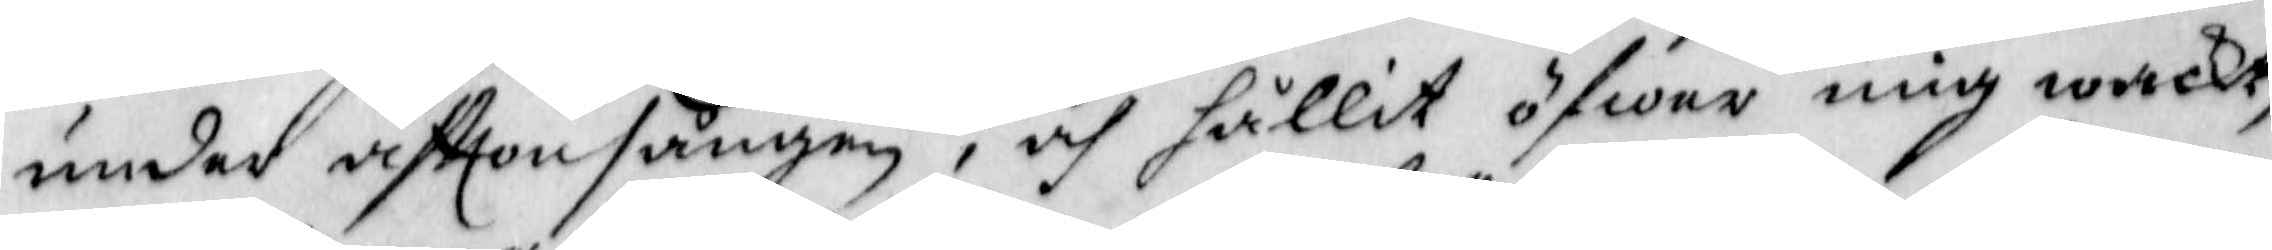under sftonsången, och hållit öfwer mig wackt,
